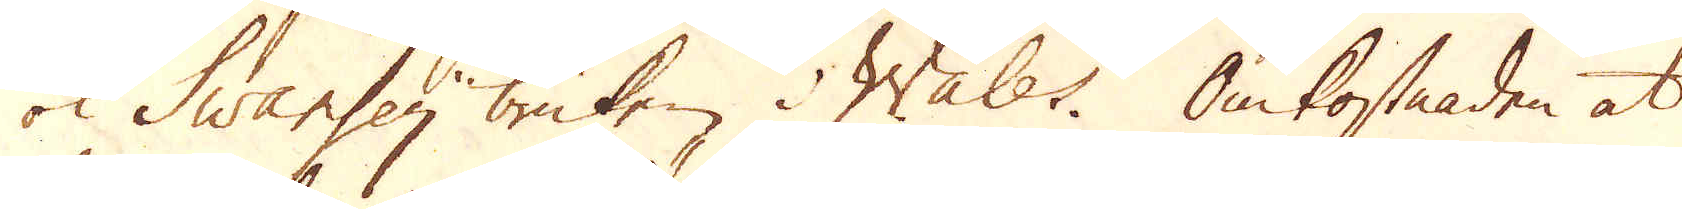ok Swansey bruken i Wales. Omkostnaden at
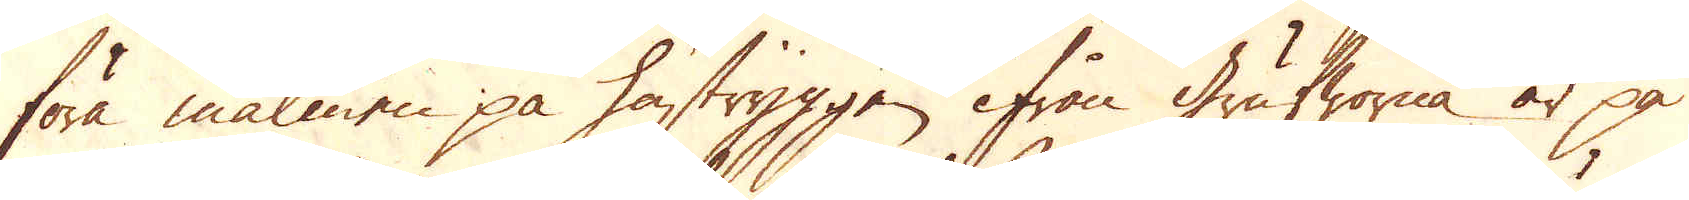föra malmen på hästryggen ifrån Grufworna är på
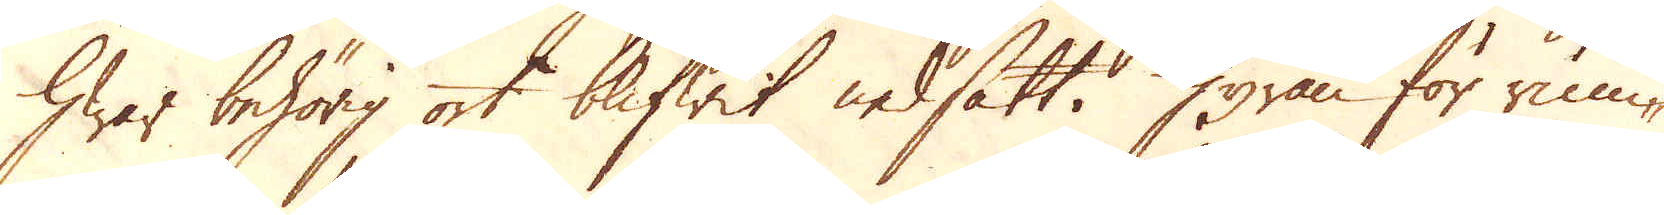hwar behörig ort blifwit nedsatt. Hyran för rum-
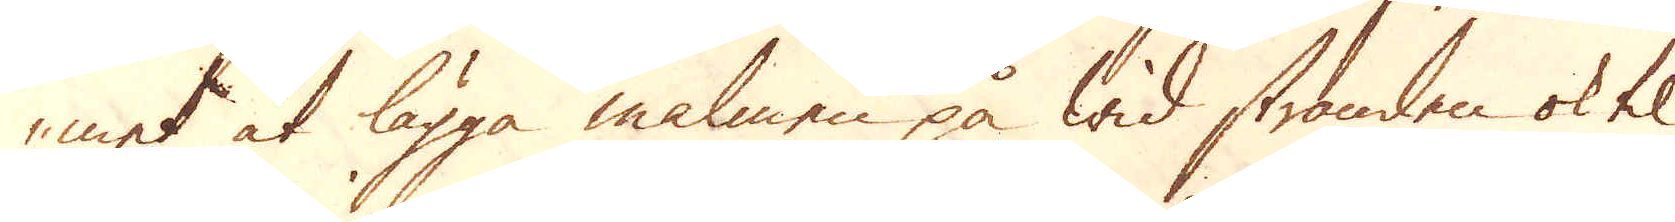met at lägga malmen på wid stranden ok til
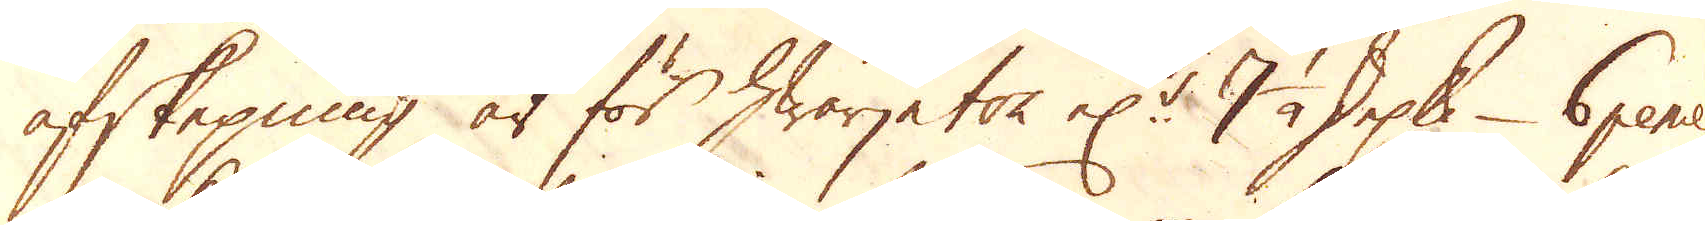afskepning är för hwarje ton el:r 7 1/2 skeppund - 6 pence.
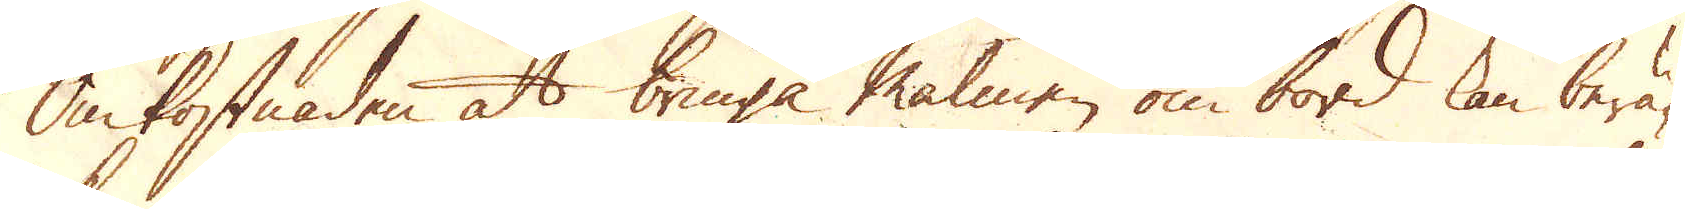Omkostnaden at bringa Malmen om bord kan berä-
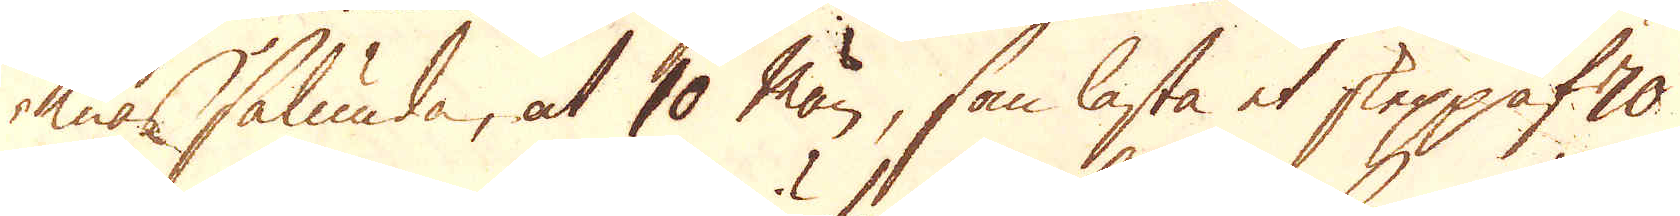knas sålunda, at 10 män, som lasta et skepp af 70
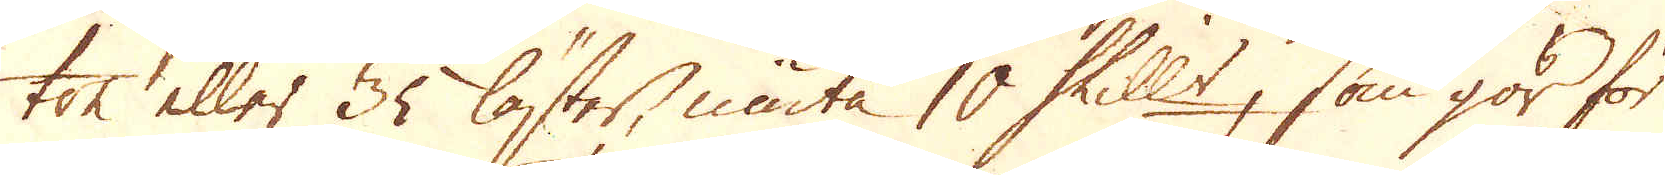ton eller 35 läster, niuta 10 Skill:r, som gör för
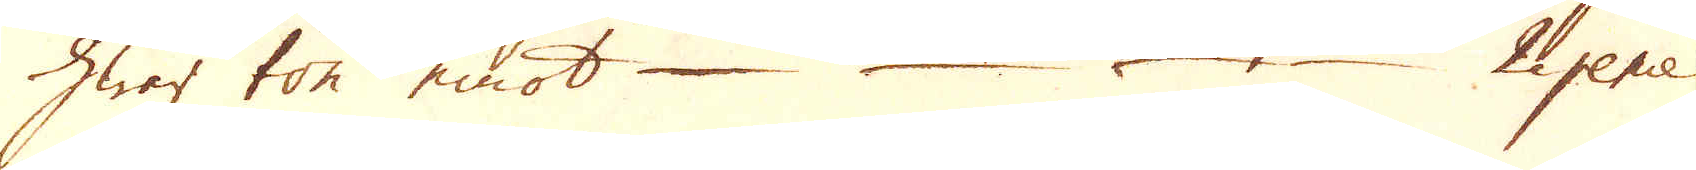hwar ton emot – – – – 2 pence
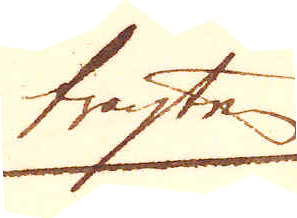fragten
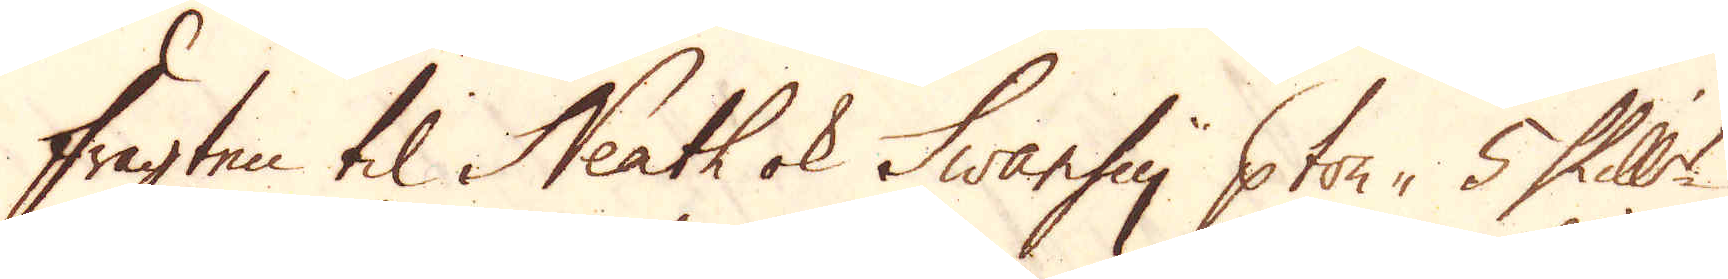Fragten til Neath ok Swansy, 5 Skill:r
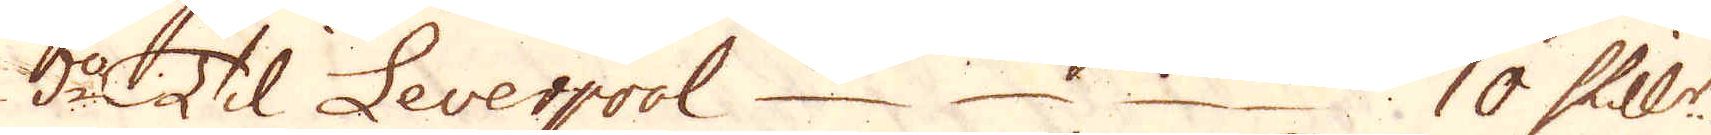d:o Til Leverpool – – – – 10 Skill:r.
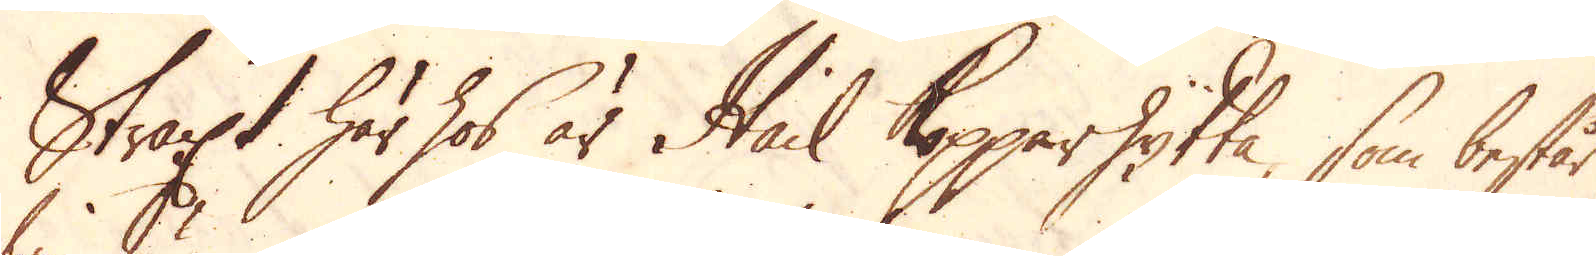Straxt här hos är Hail kopparhytta, som består
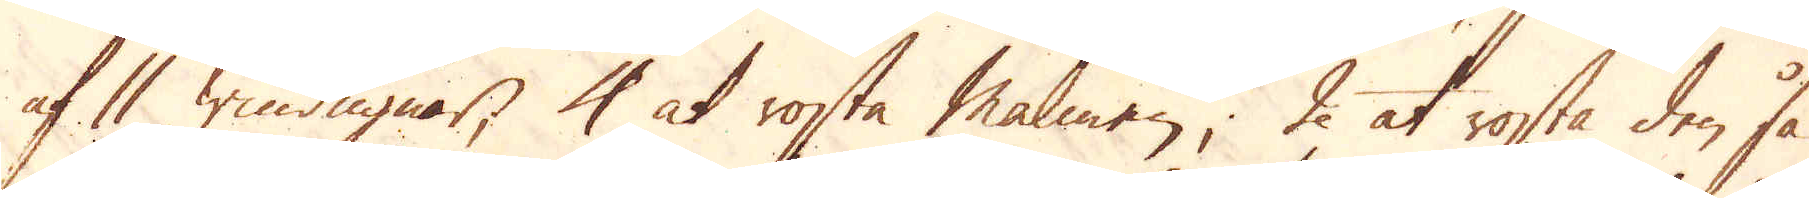af 11 windugnar, 4 at rosta malmen, 2 at rosta den så
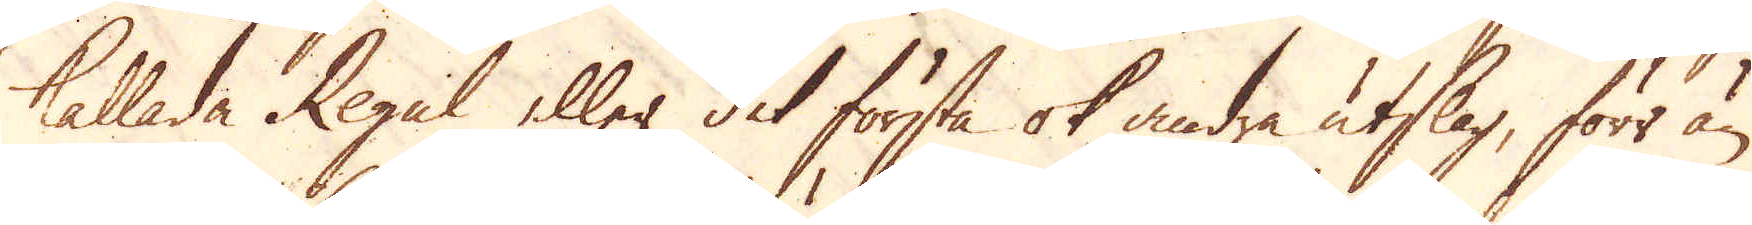kallade Regul eller det första ok andra utslag, förr än
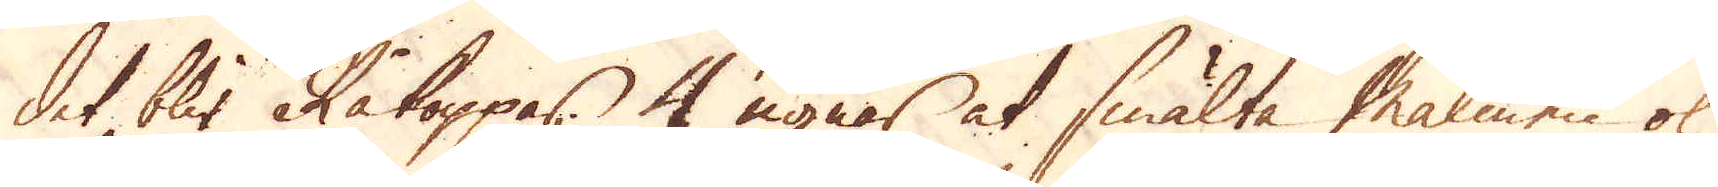det blir Råkoppar 4 ugnar at smälta Malmen ok
